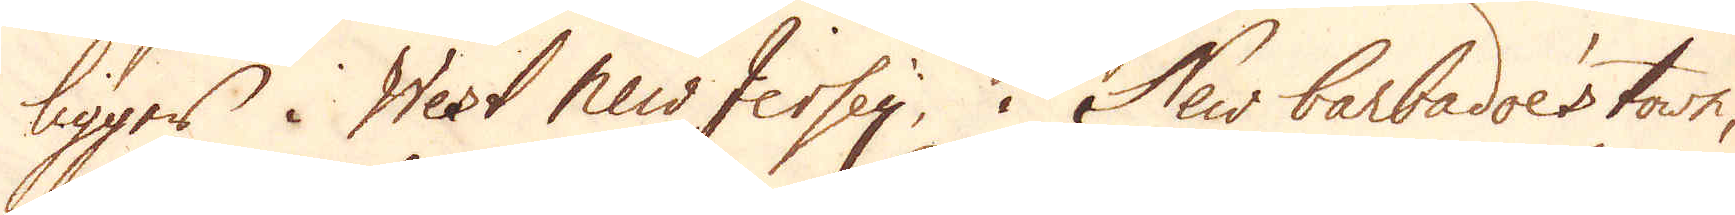ligger i West New Jersey i New Barbadoe's town,
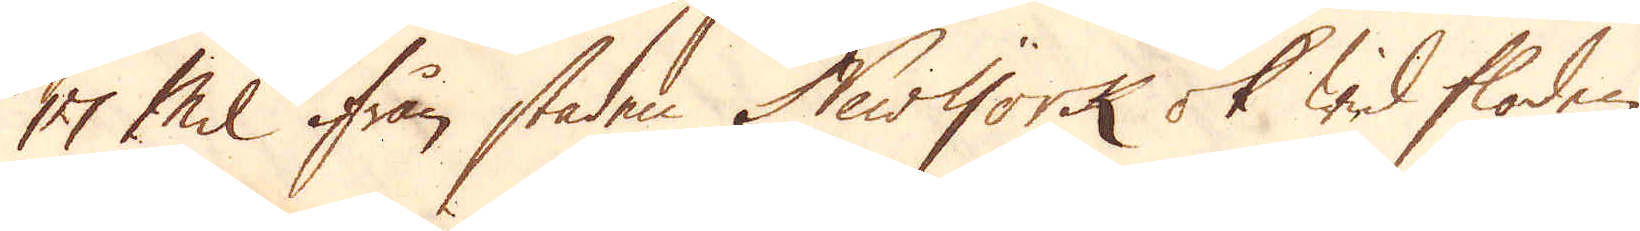17 Mil ifrån staden New York ok wid floden
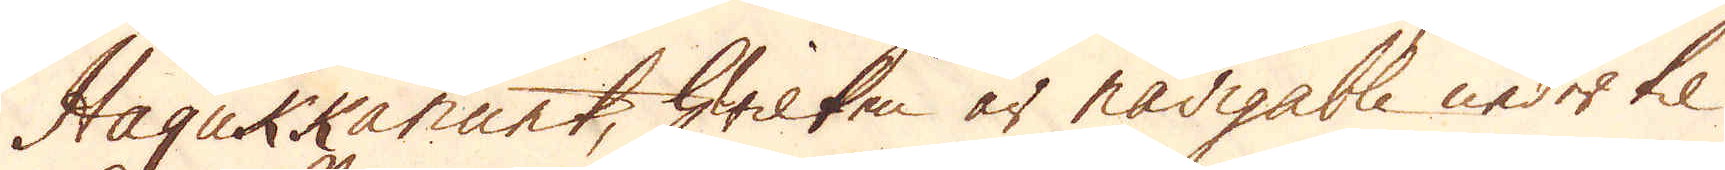Haqukkanunt, hwilken är navigable neder til
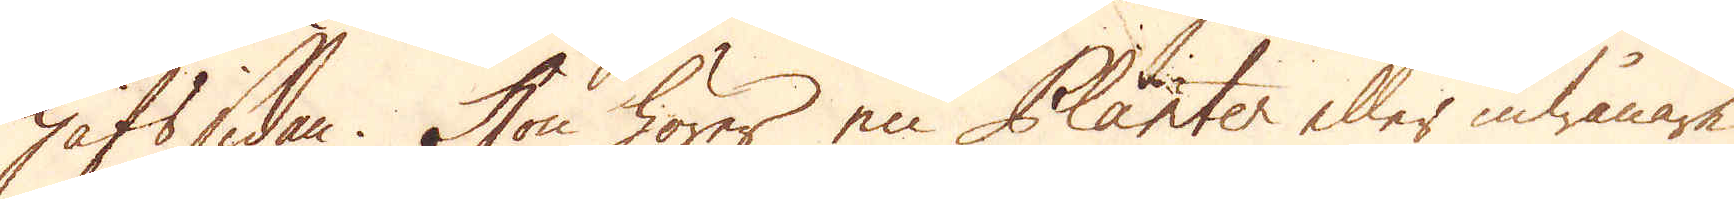hafssidan. Hon hörer en Planter eller inwånare
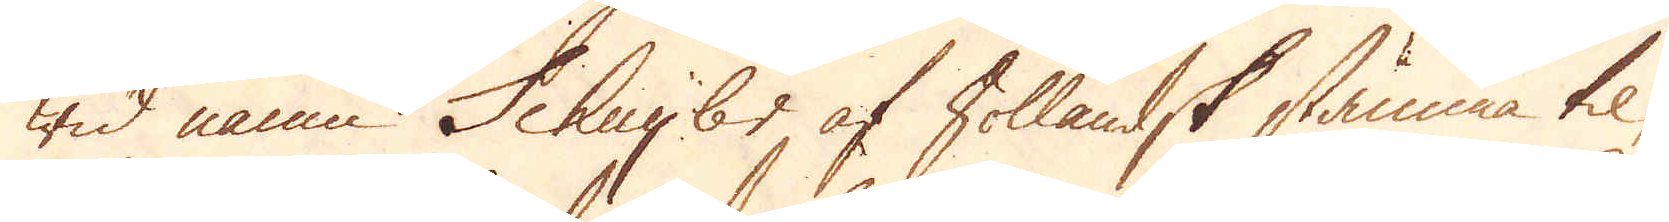wid namn Schuybr af Hollandsk stämma til,
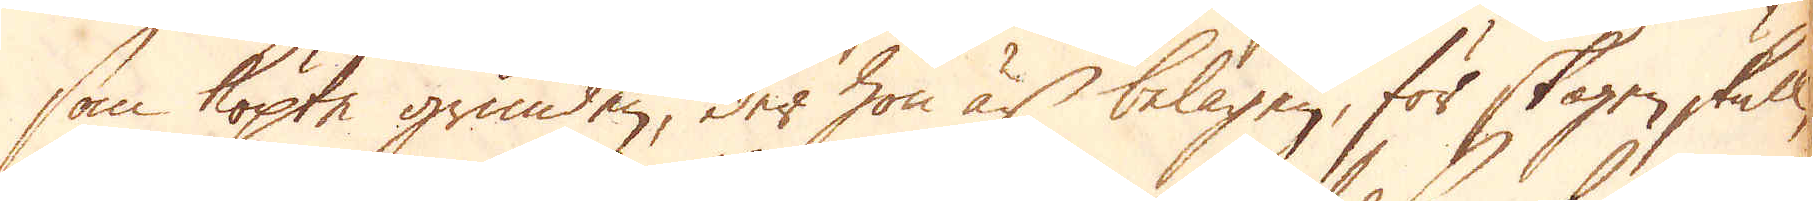som köpte grunden, der hon är belägen, för skogen skull,
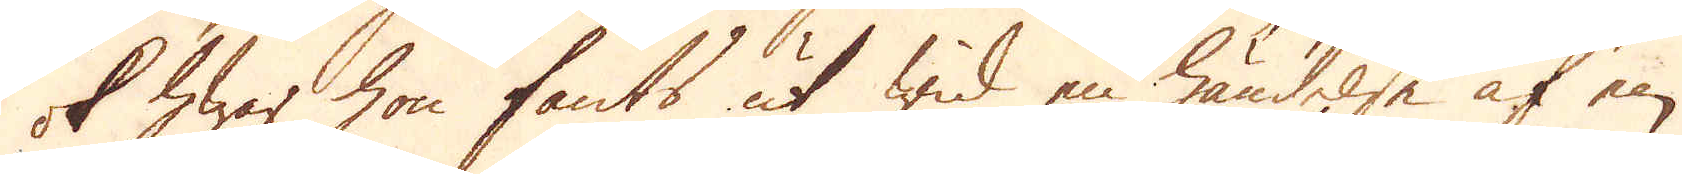ok hwar hon fants ut wid en händelse af en
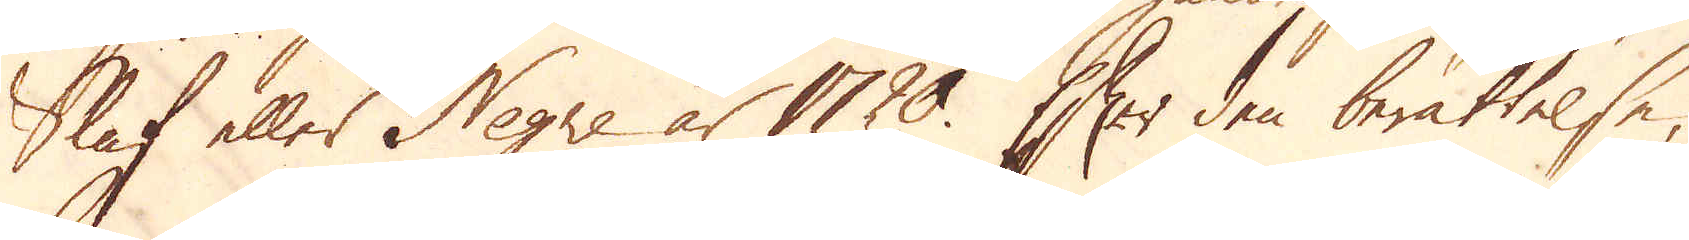Slaf eller Negre år 1720. Efter den berättelse,
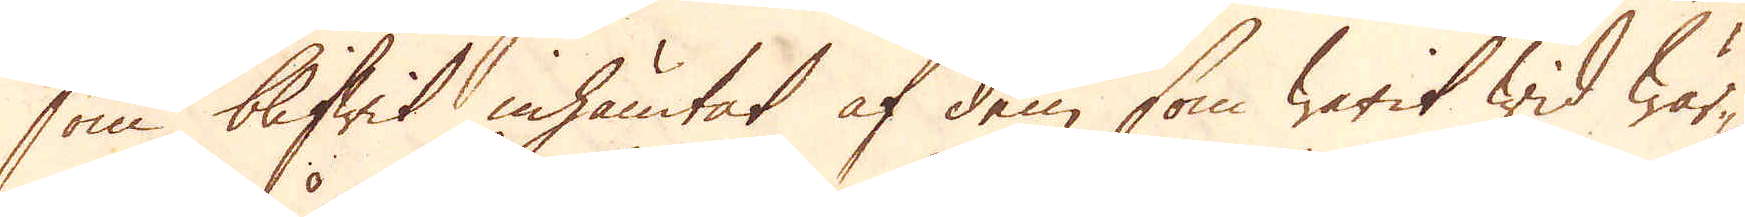som blifwit inhämtat af dem, som warit wid wär-
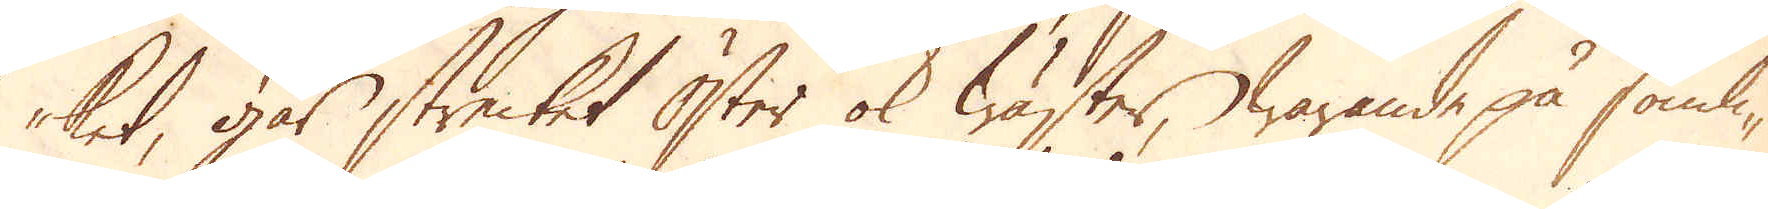ket, går strecket Öster ok Wäster, warande på somli-
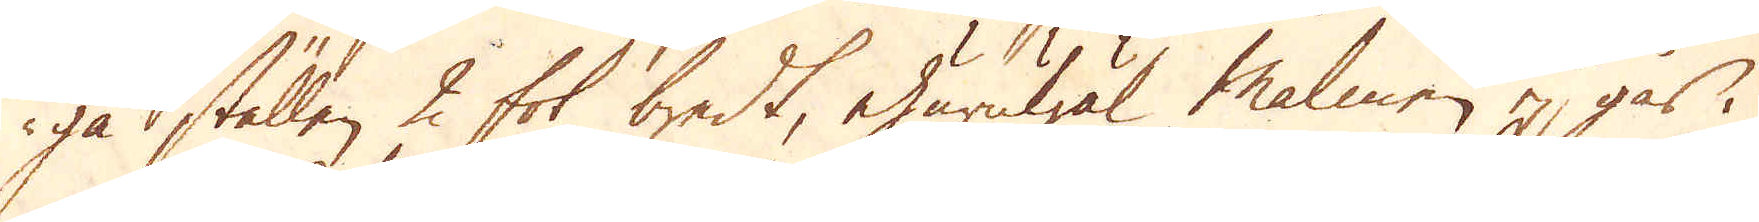ga ställen 2 fot bredt, ehuruwäl malmen ej går i
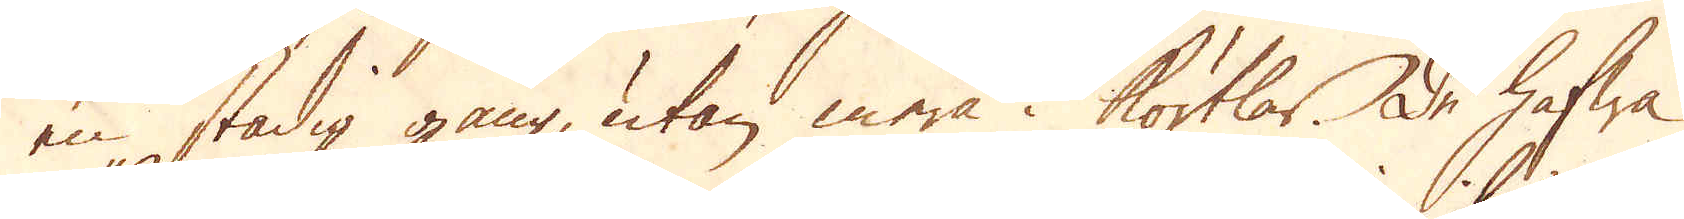en stadig gång, utan mera i körtlar. De hafwa
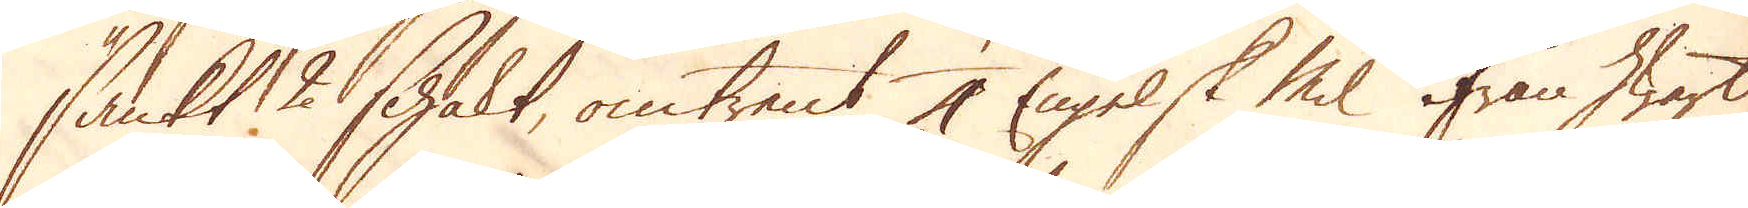sänkt 2 schakt, omtrent 1/4 Engelsk Mil ifrån hwart
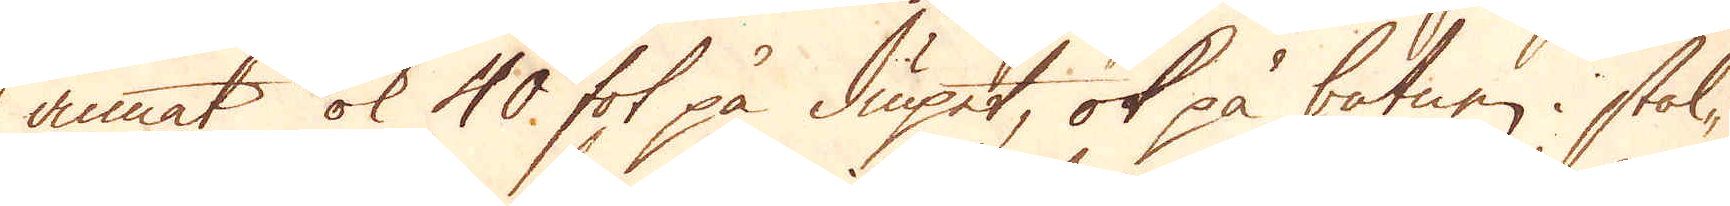annat ok 40 fot på diupet, ok på botnen i stäl-
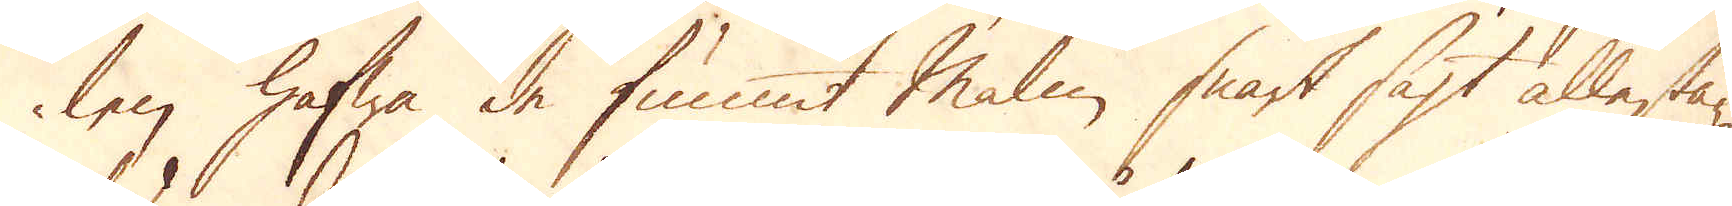len hafwa de funnit Malm snart sagt allestä-
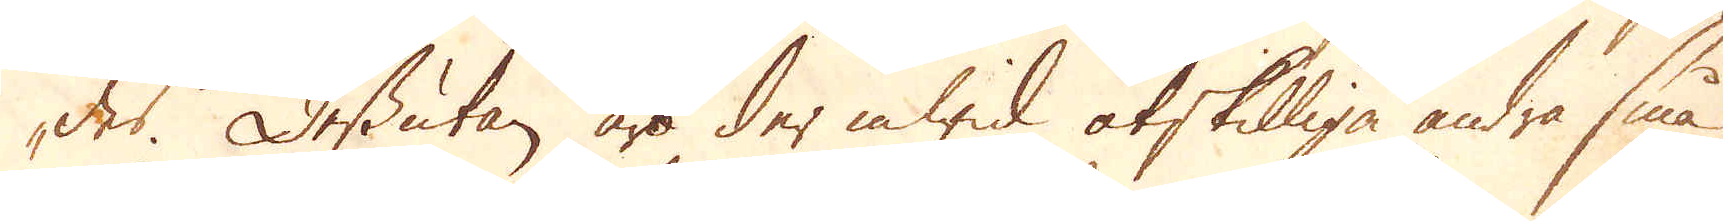des. Dessutan äro der inwid åtskilliga andra små
